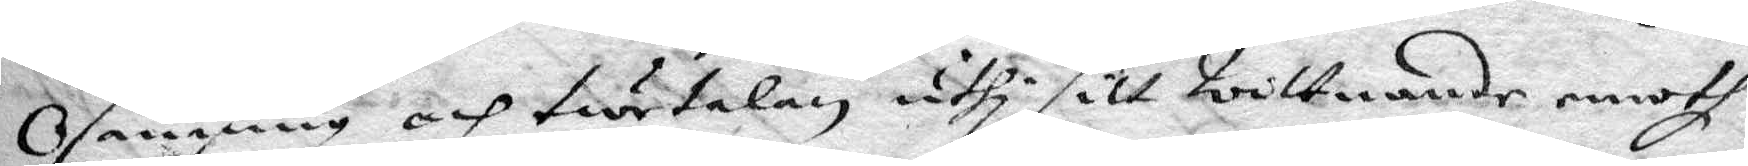Osanning och twetalan, uthi sitt wittnande emoth
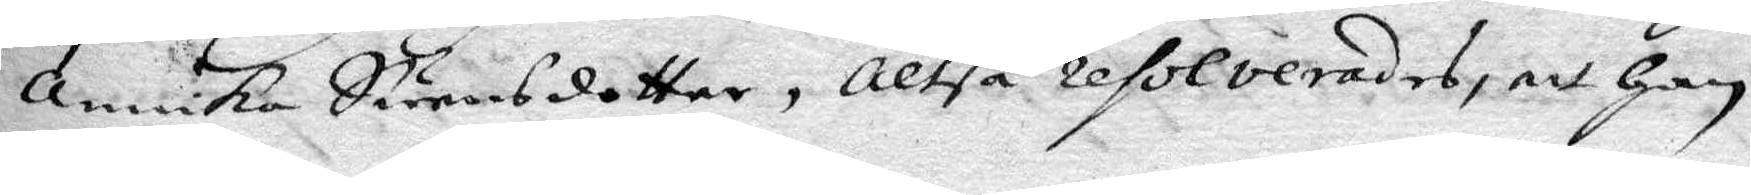Annika Swensdotter, Altså resolverades, att Han
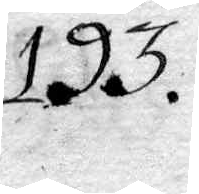193.
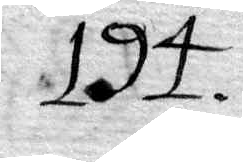194.
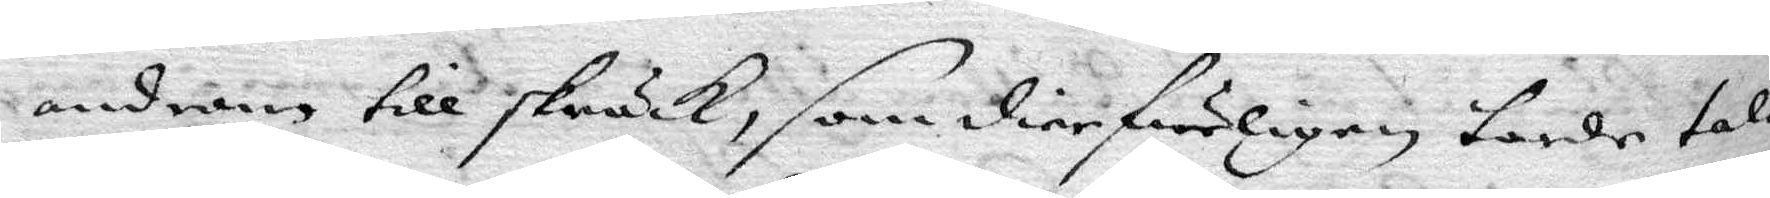androm till skräck, som dierfweligen torde till
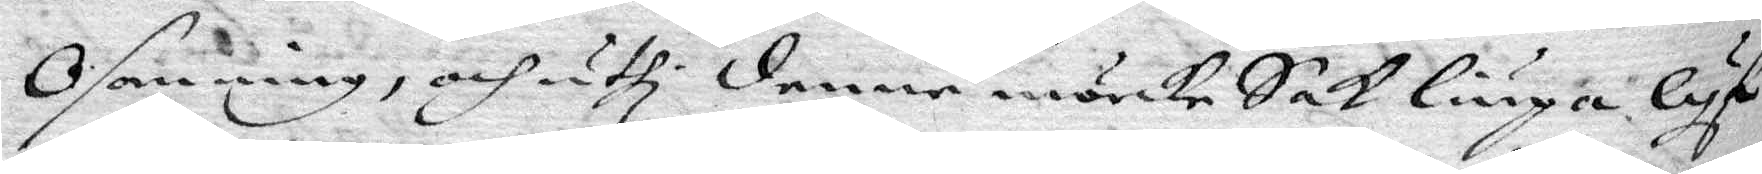Osanning, och uthi denne mörcke Sak liuga lyf
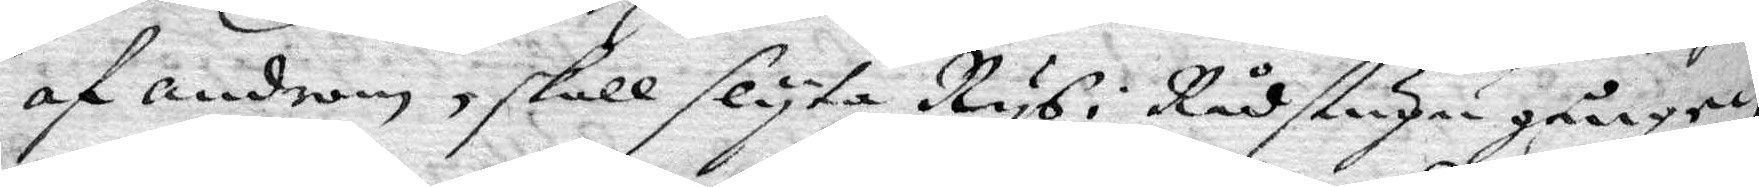af androm, skall slyta Rys, Rådstugu gången
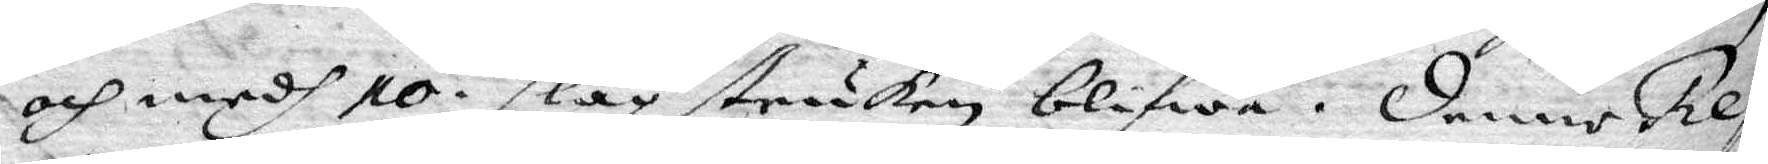och medh 10 slag struken blifwa; denne Reso¬
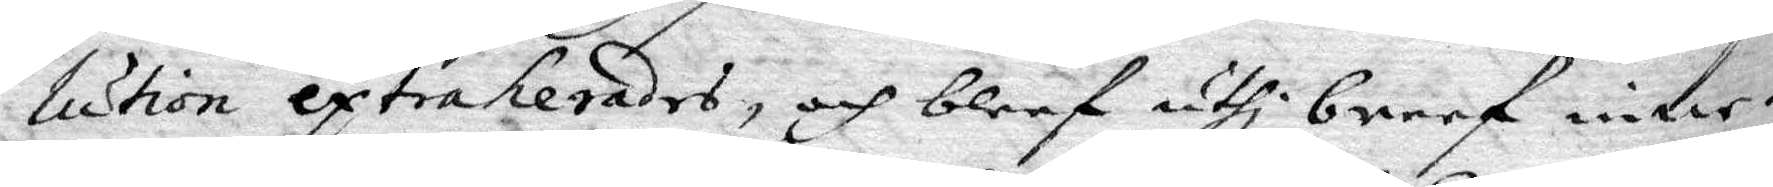lution extraherades, och bleef uthi breef inne¬
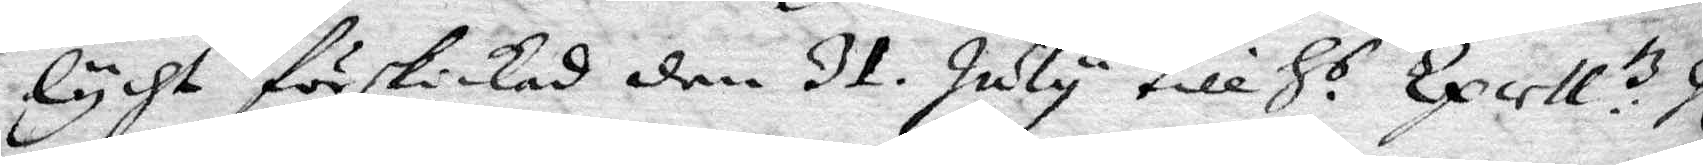lycht förskickad den 31. July till H.s Excell:tz hl.r
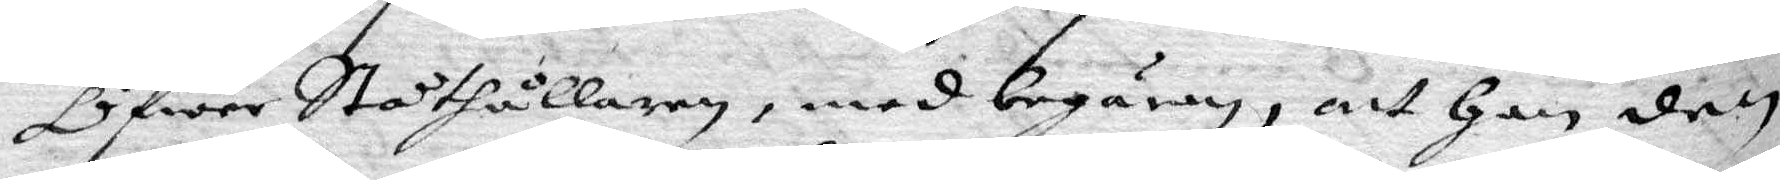Öfwer Ståthållaren, med begäran, att han den
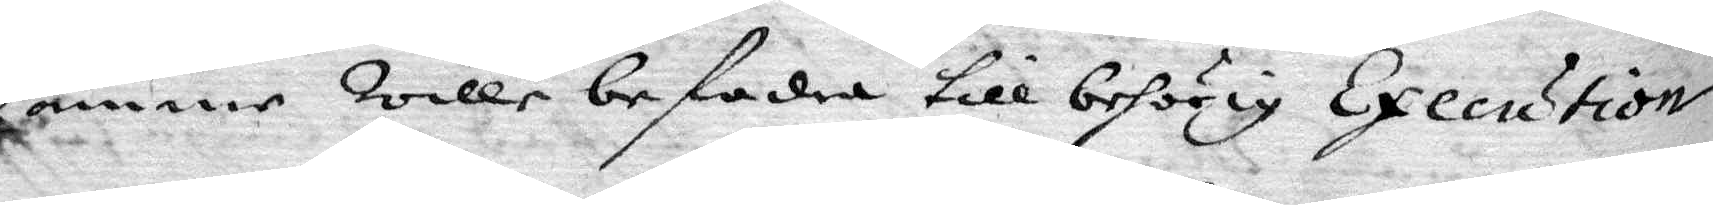samme wille befodra till behörig Execution.
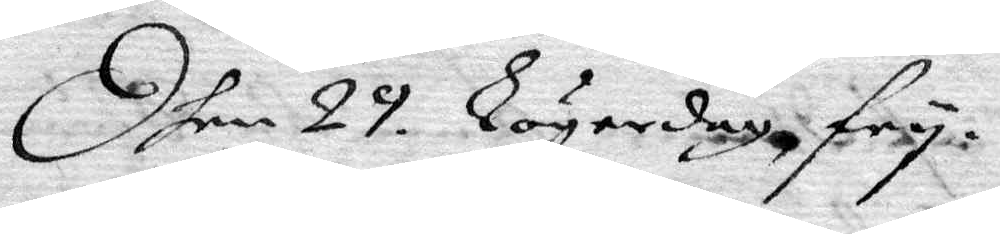Dhen 29 Lögerdagz fry
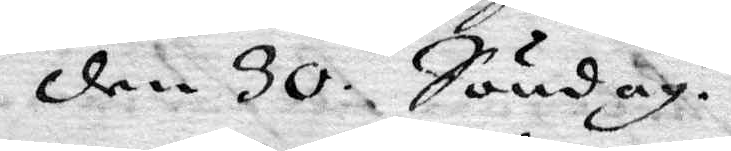den 30 Söndag.
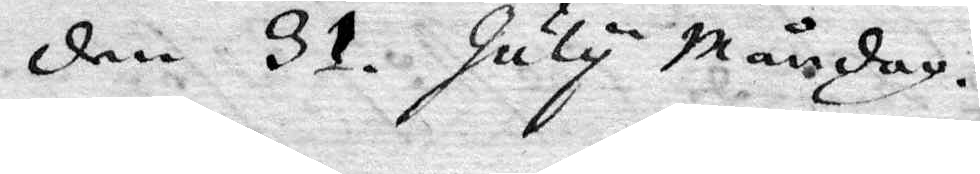den 31. July Måndag.
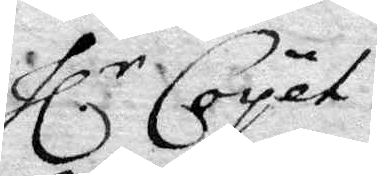Hl.r Coyet.
